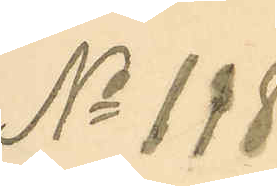No 118
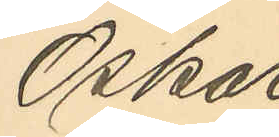Oskar
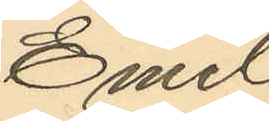Emil
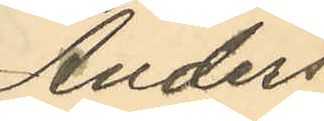Anders¬
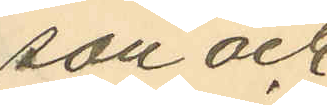son och
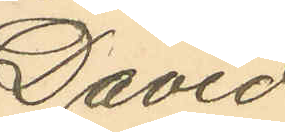David
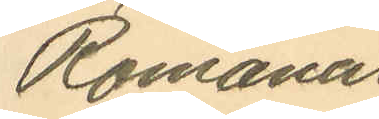Romanus
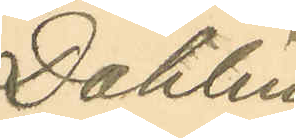Dahlin.
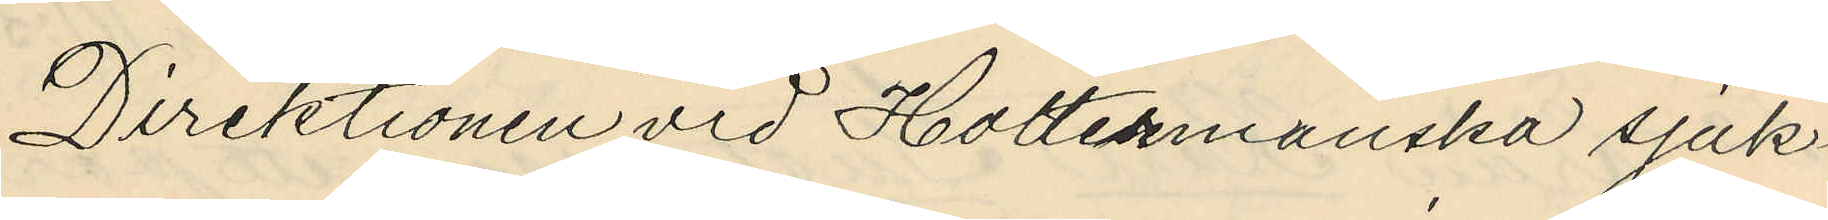Direktionen vid Holtermanska sjuk¬
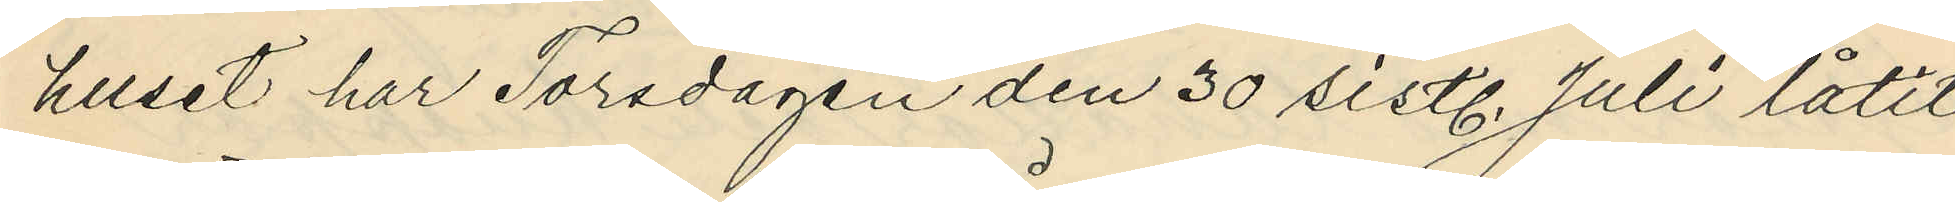huset har Torsdagen den 30 sistl. Juli låtit
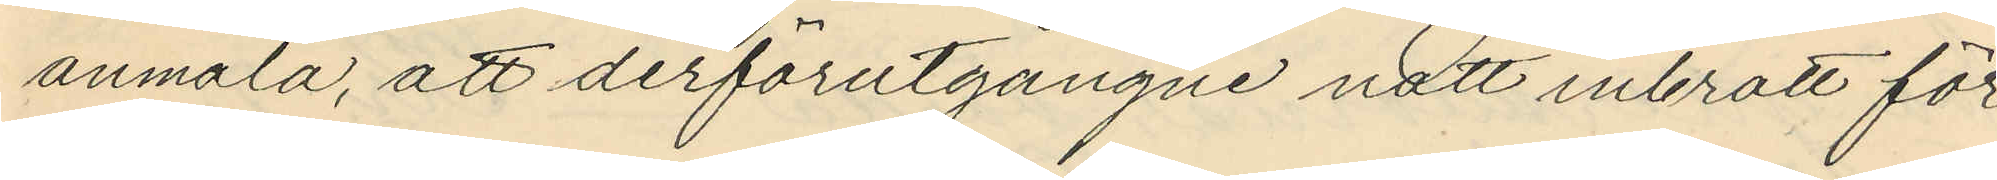anmäla, att derförutgångne natt inbrott för¬
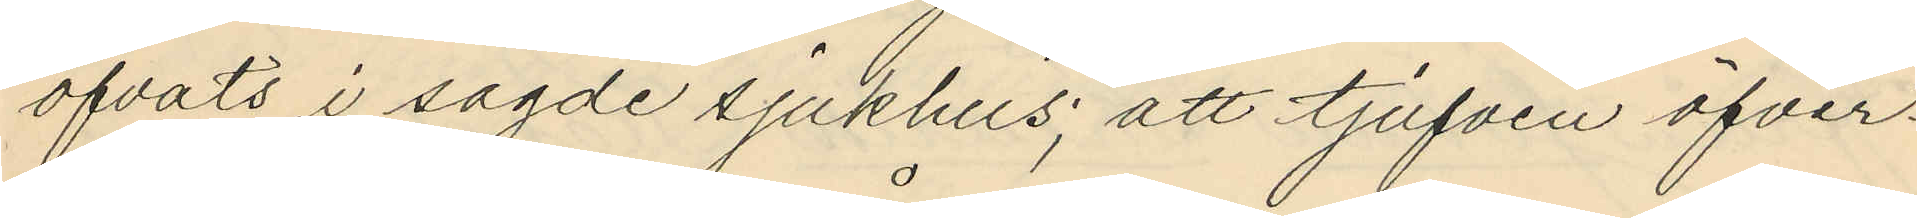öfvats i sagde sjukhus; att tjufven öfver¬
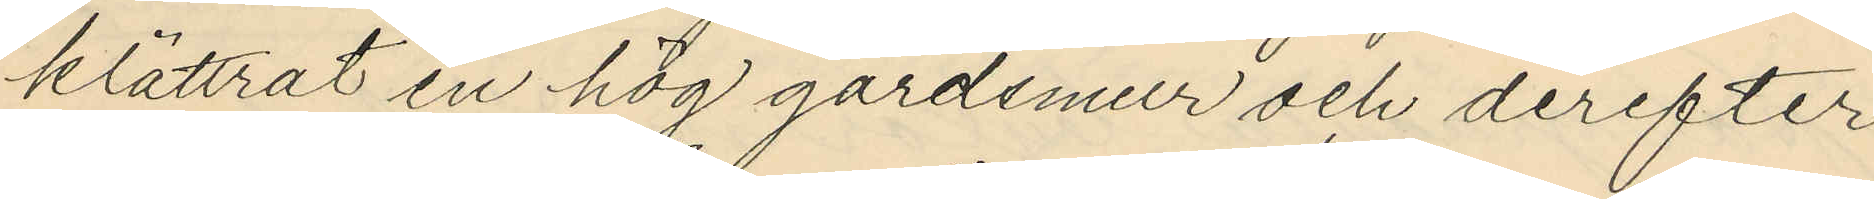klättrat en hög gårdsmur och derefter
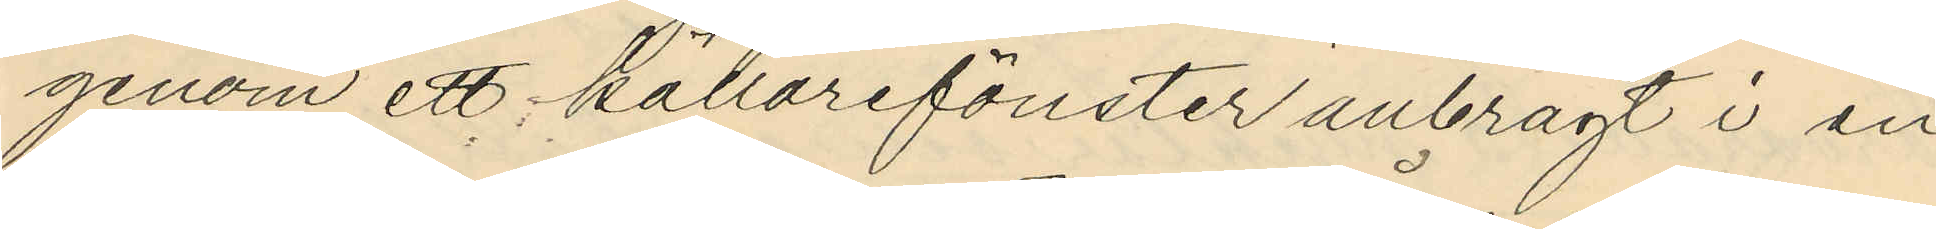genom ett källarefönster anbragt i en
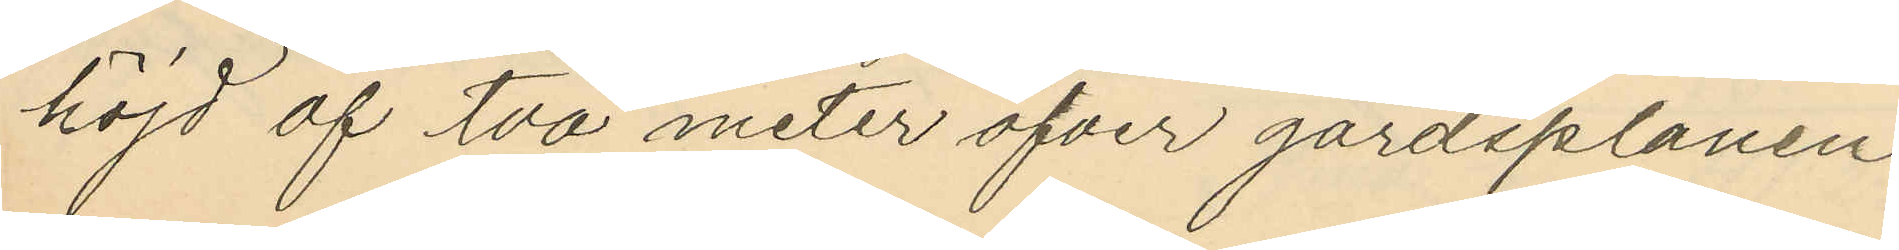höjd af två meter öfver gårdsplanen,
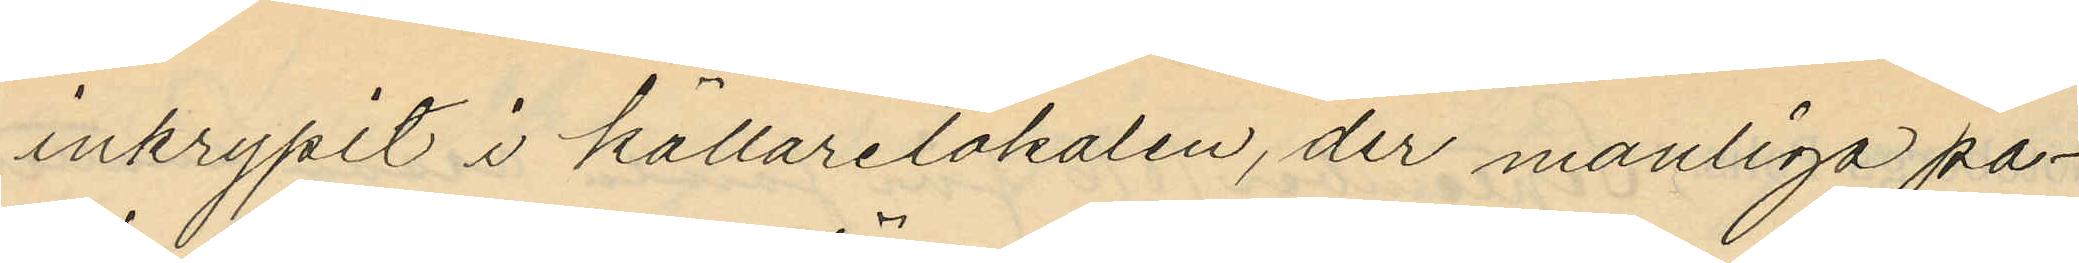inkrypit i källarelokalen, der manliga pa¬
